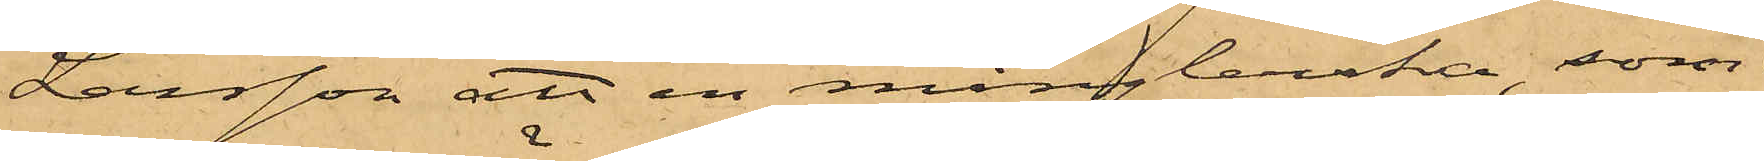Larsson att en månglerska, som
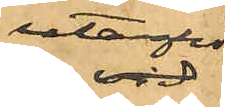utanför
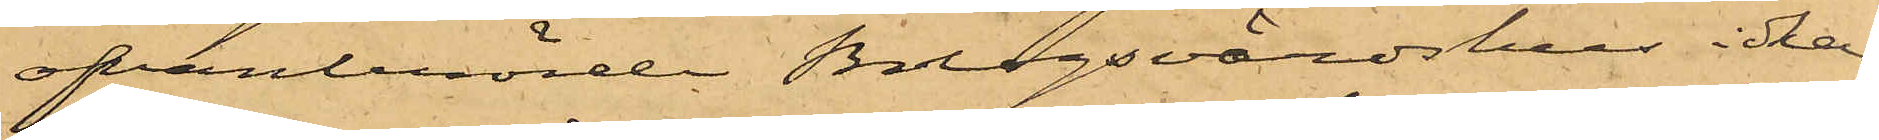ofvanberörde Bolagsvärdshus idkar
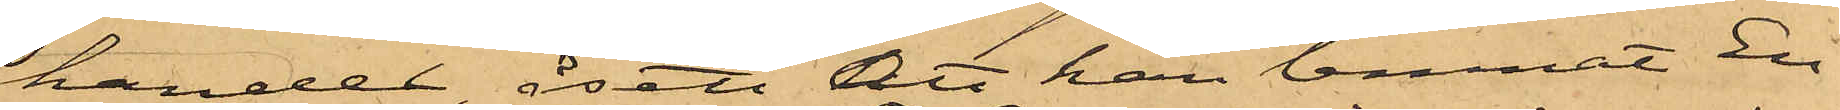handel åsett att han lemnat En¬
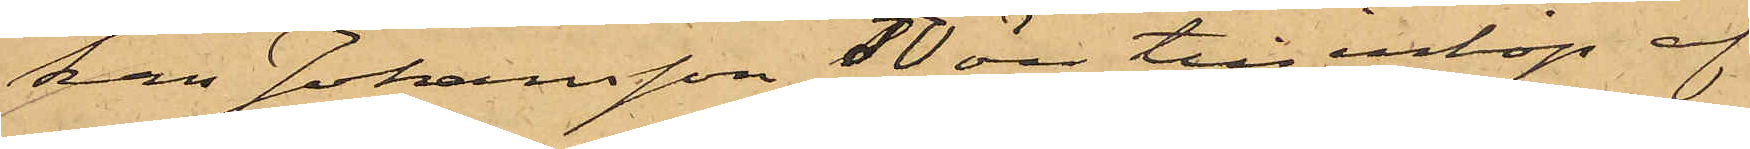kan Johansson 50 öre till inköp af
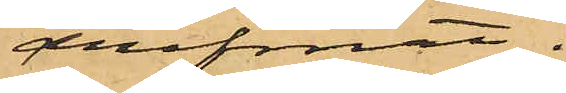drefmat.
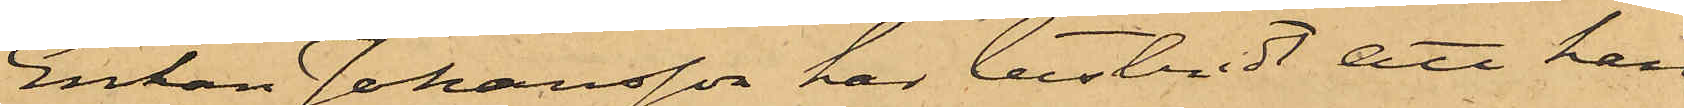Enkan Johansson har bestridt att hon
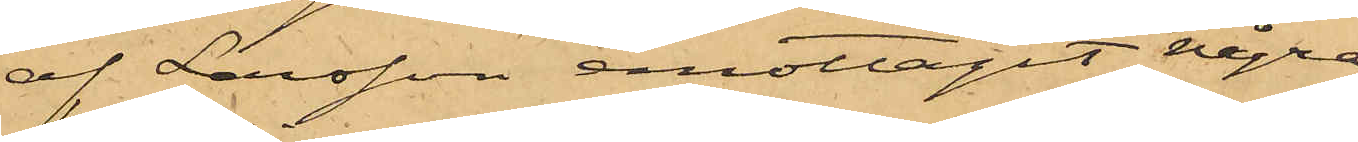af Larsson emottagit några
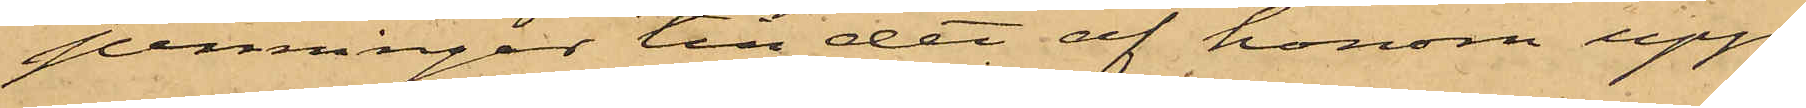penningar till det af honom upp¬
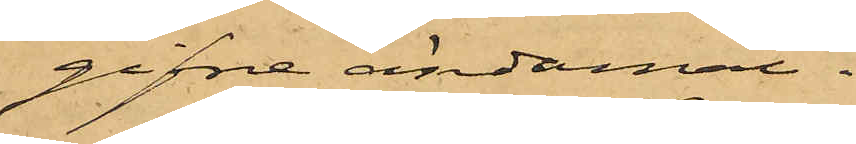gifne ändamål.
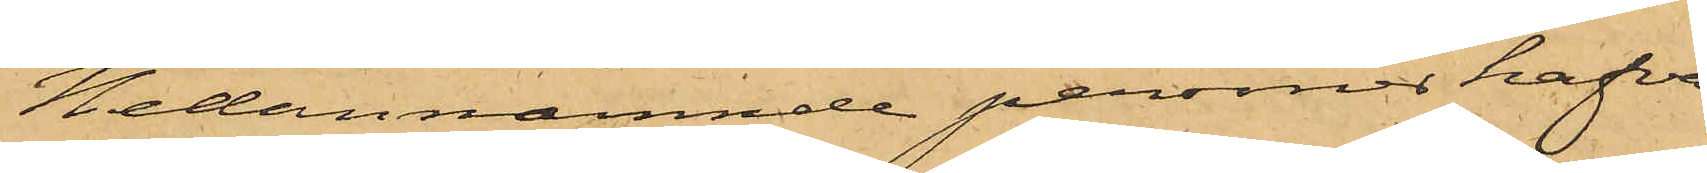Nedannämnde personer hafva
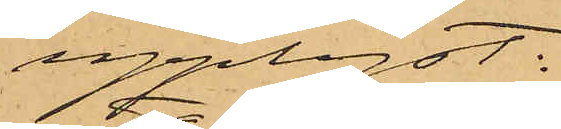upplyst:
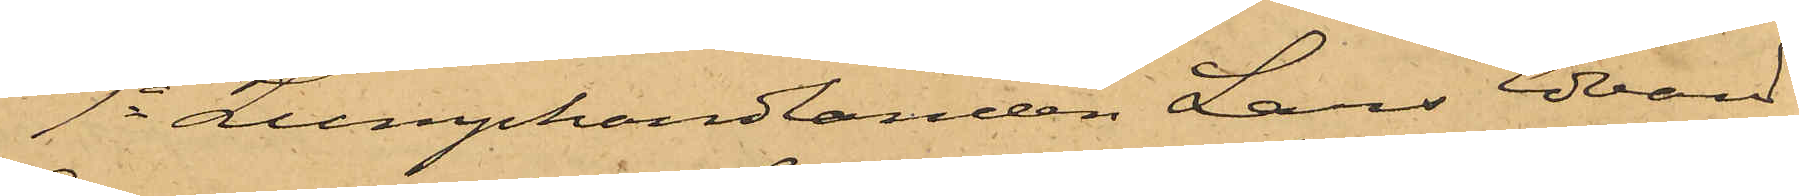1o Lumphandlanden Lars Edvard
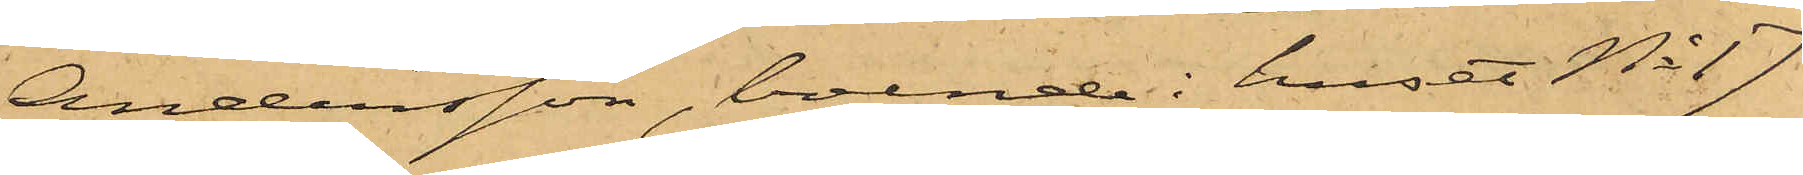Andersson, boende i huset No 17
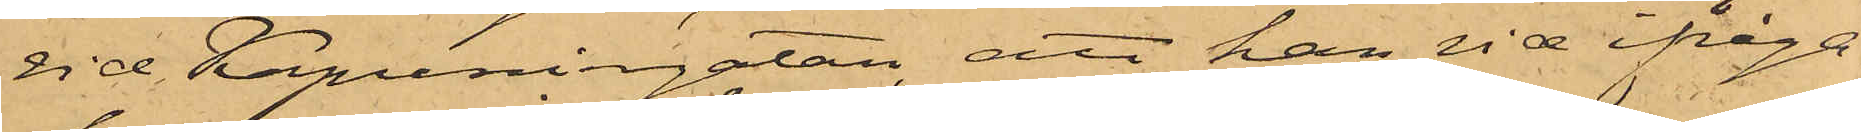vid Kapuniergatan, att han vid ifråga¬
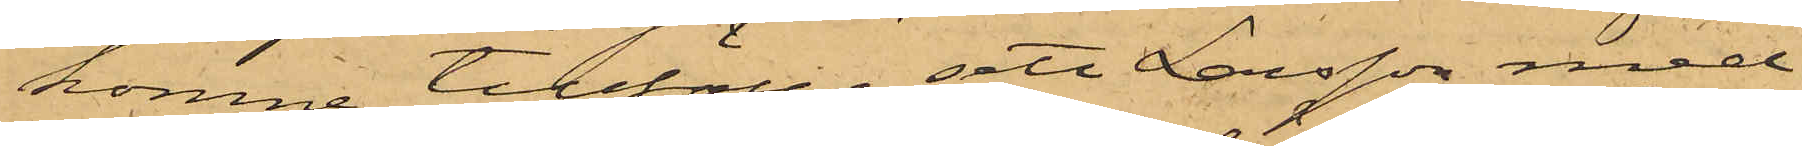komne tillfälle sett Larsson med
